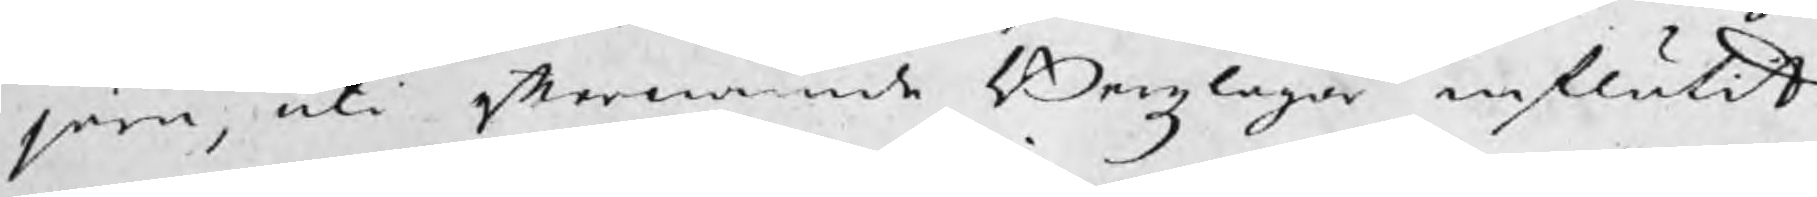järn, uti efternämde Bergzlagar influtit
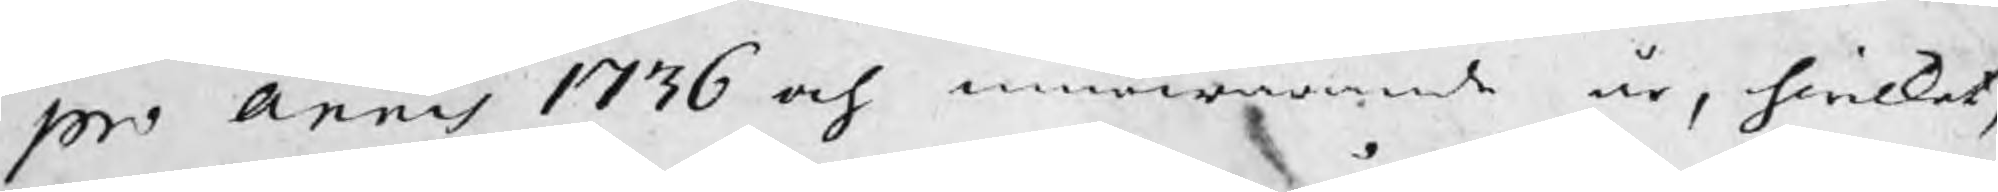pro annis 1736 och innewarande år, hwilket,
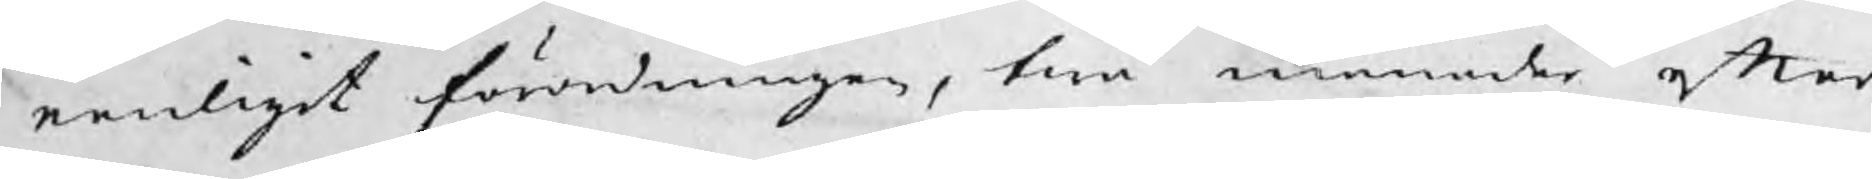eenligit förordningen, twå månader efter
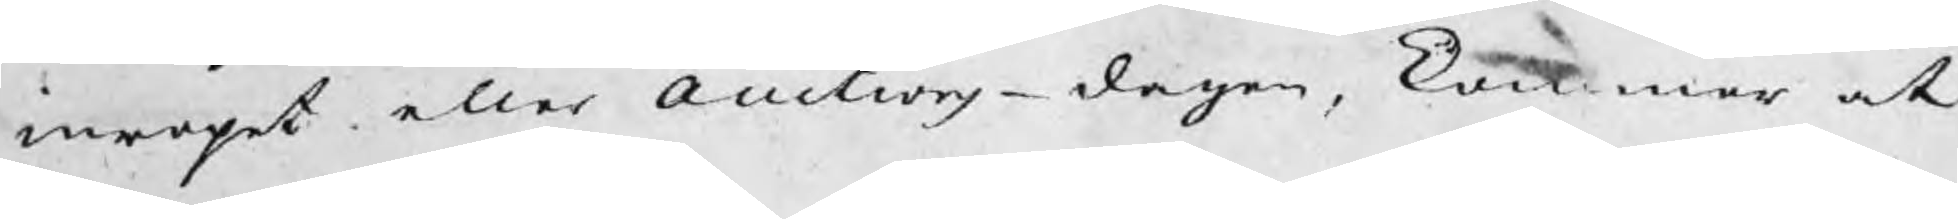inropet eller auctions¬dagen, kommer at
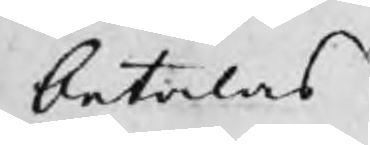betalas.
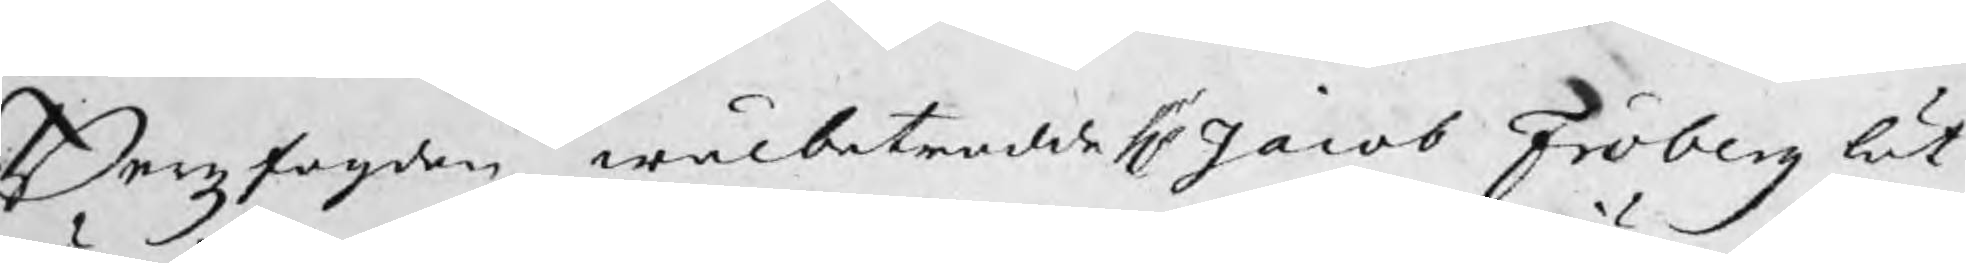Bergzfogden wälbetrodde Hr Jacob Fröberg lät
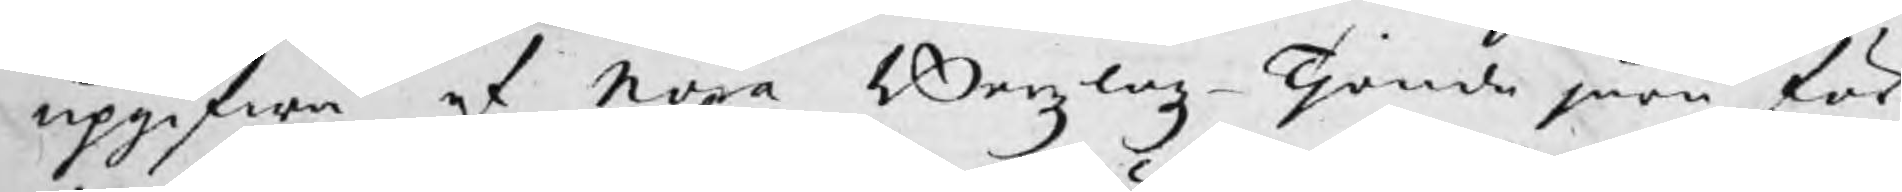upgifwa af Nora Bergzlagz¬Tjonde järn för
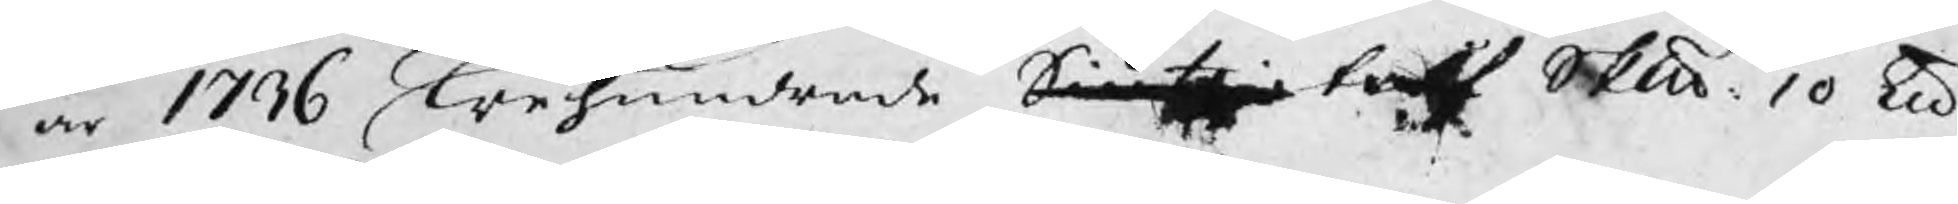år 1736 Trehundrande Siutijo tolf Skp 10 ℔
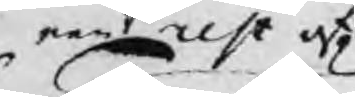een rest af
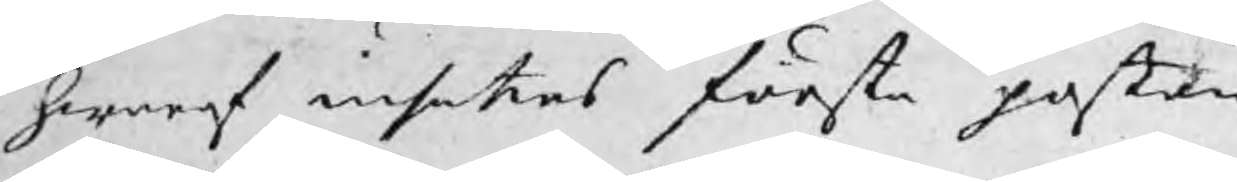hwaraf insattes första posten
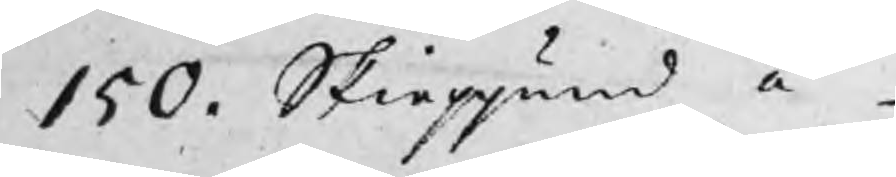150. Skieppund à
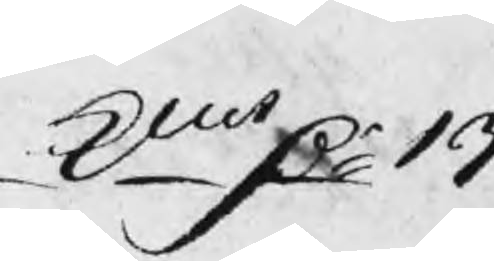kmt Dr 13
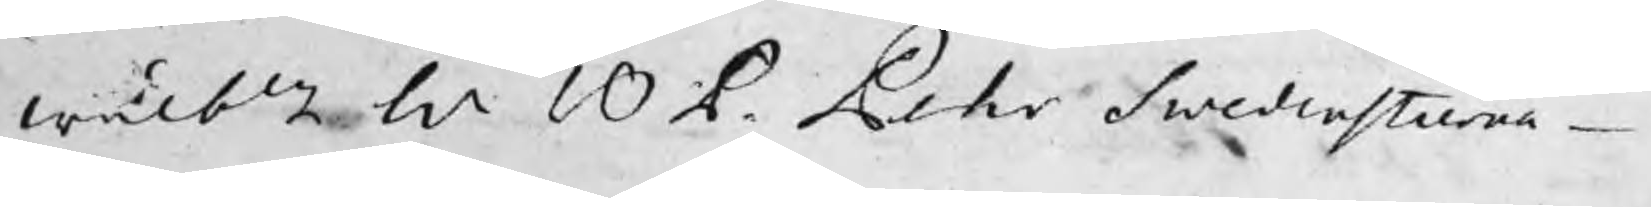wälbln Hr B P. Pehr Swedenstierna
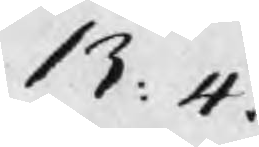13: 4.
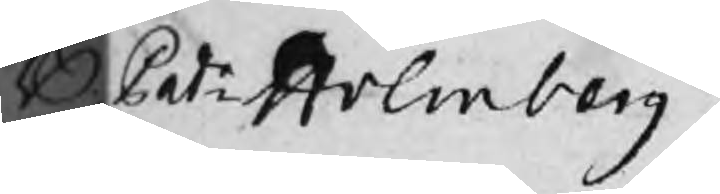B Patr: Holmberg
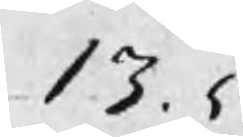13. 5
